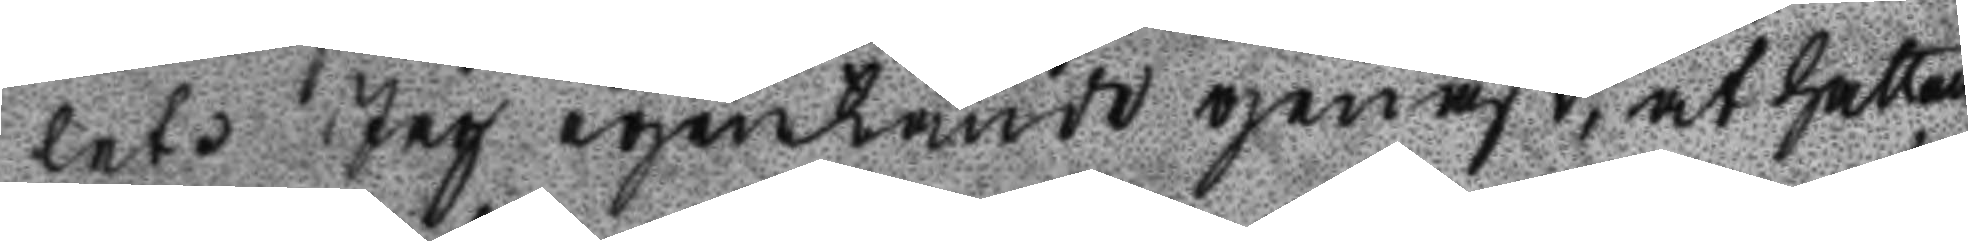let. Jag igenkände genast, at hatten
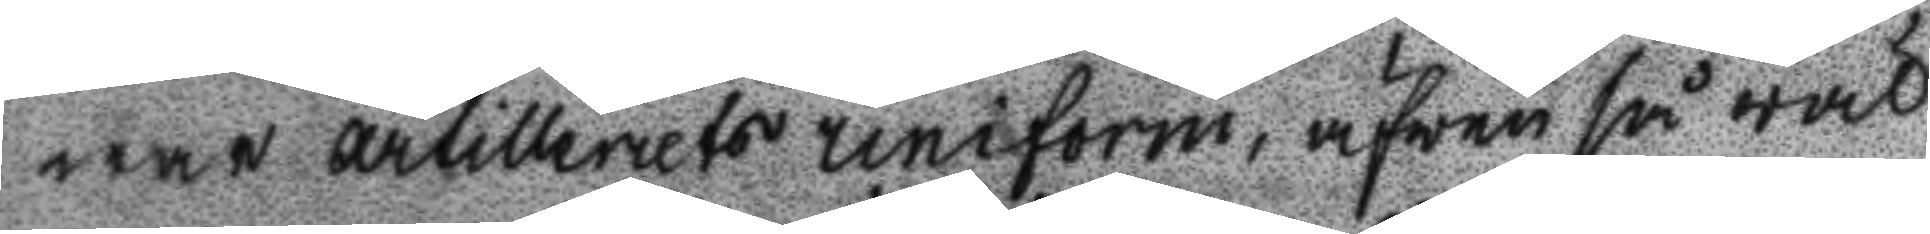war Artilleriets uniform, äfwen så wäl
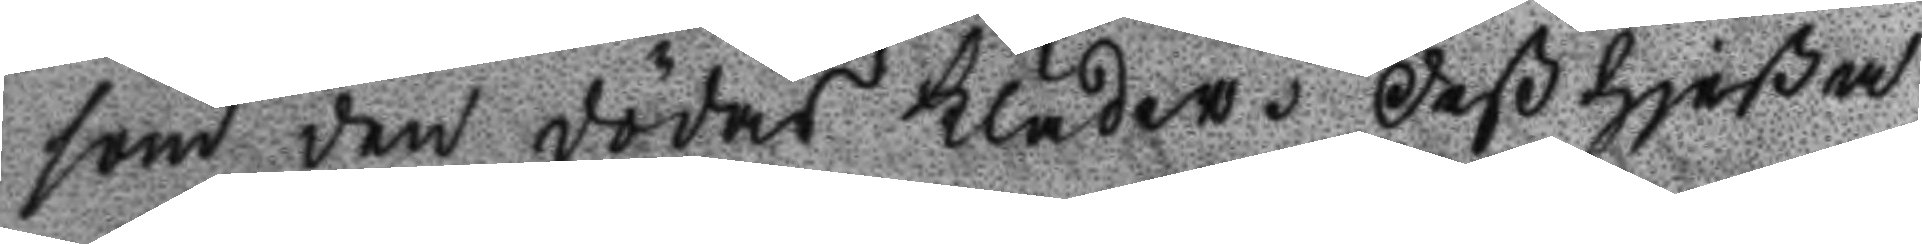som den dödas kläder, Deß hjeßa
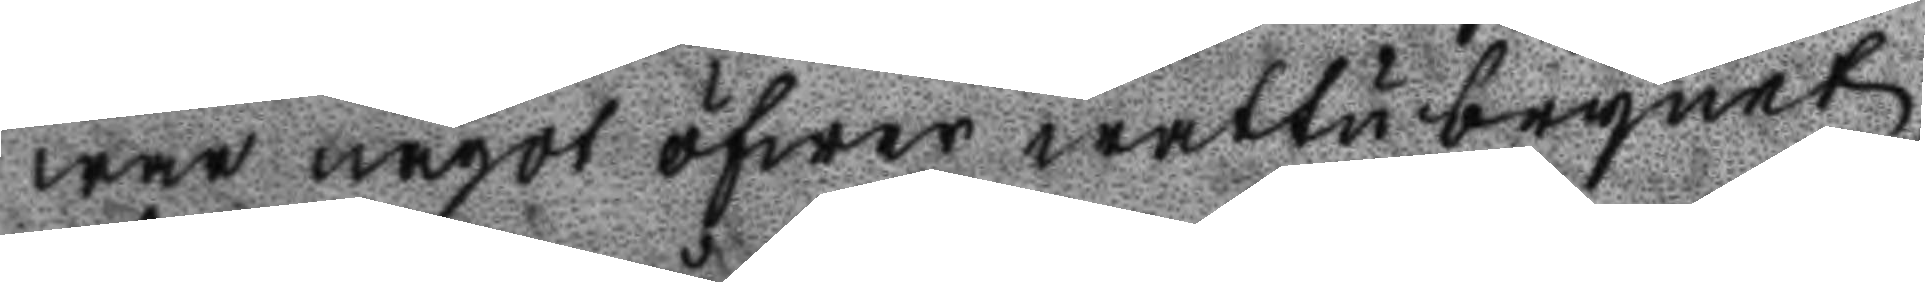war något öfwer wattybrynet,
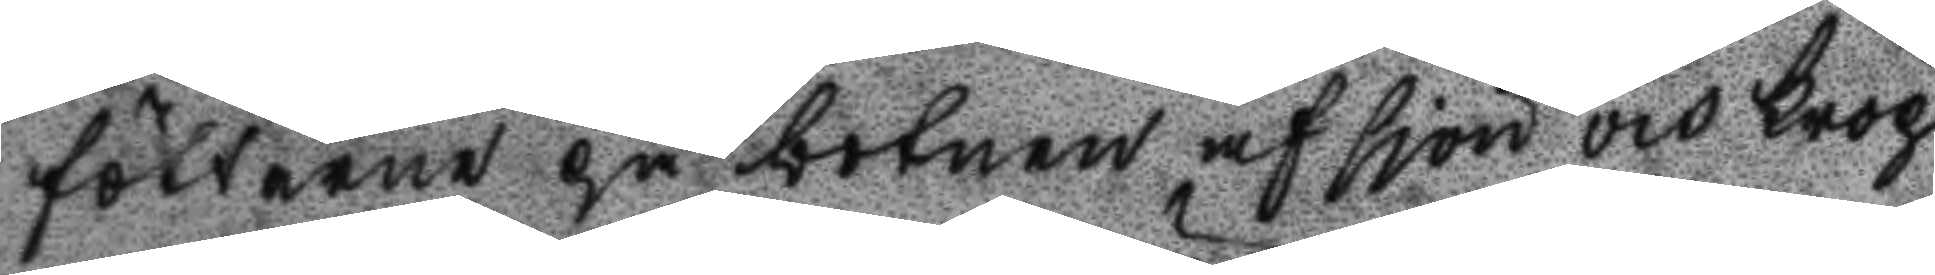fötterne på botnen af sjön och krop
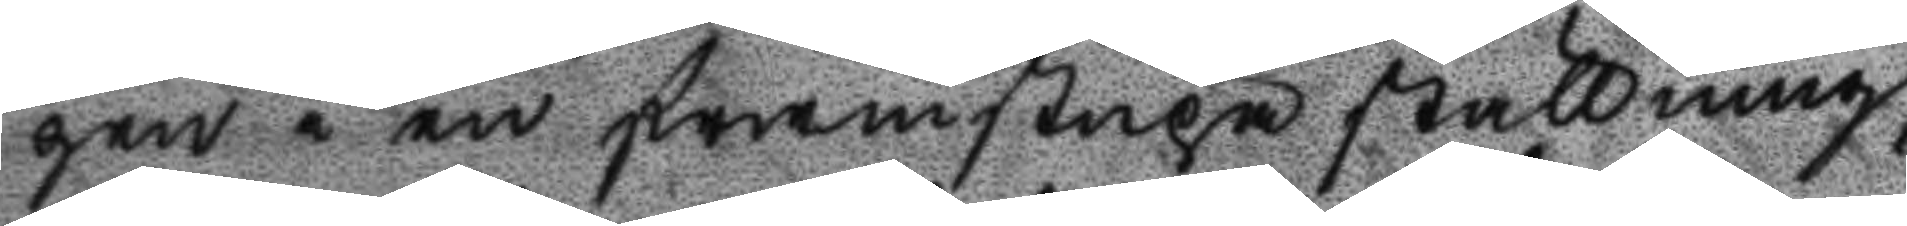pen i en framstupa ställning,
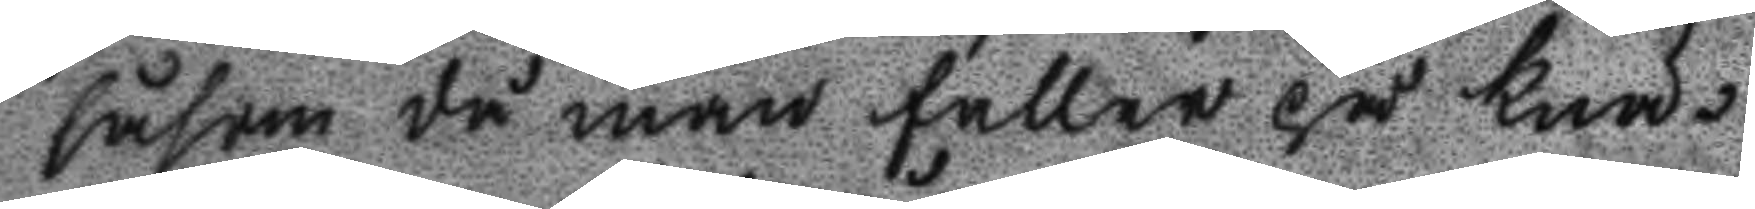såsom då man faller på knä.
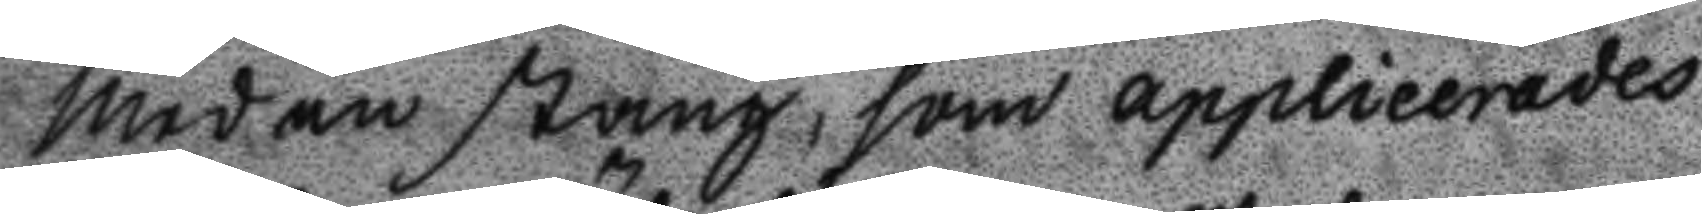Med en stång som applicerades
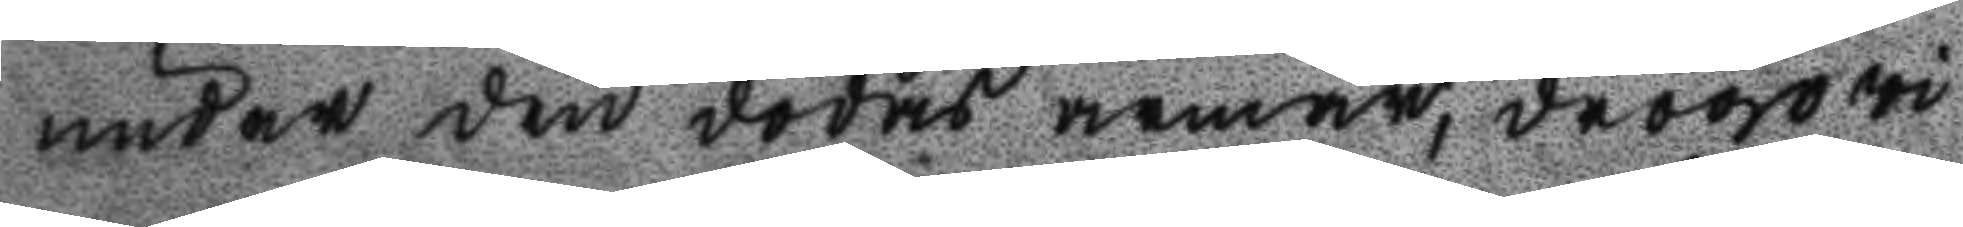under den dödas armar, drogo vi
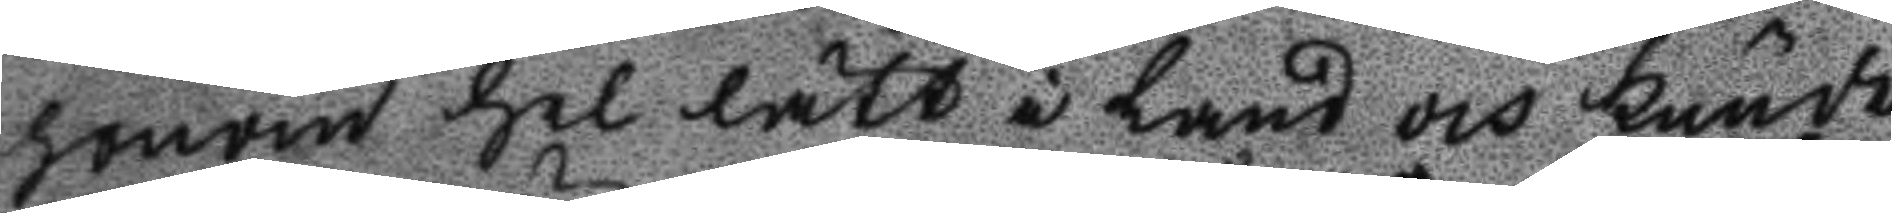honom hel lätt i land och kunde
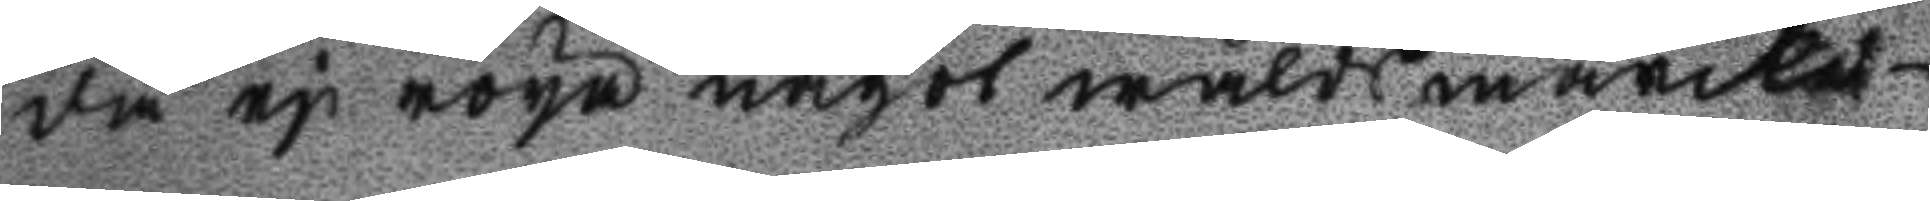då ej röya något wålds märcke
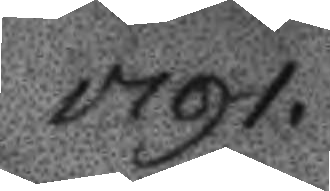1791.
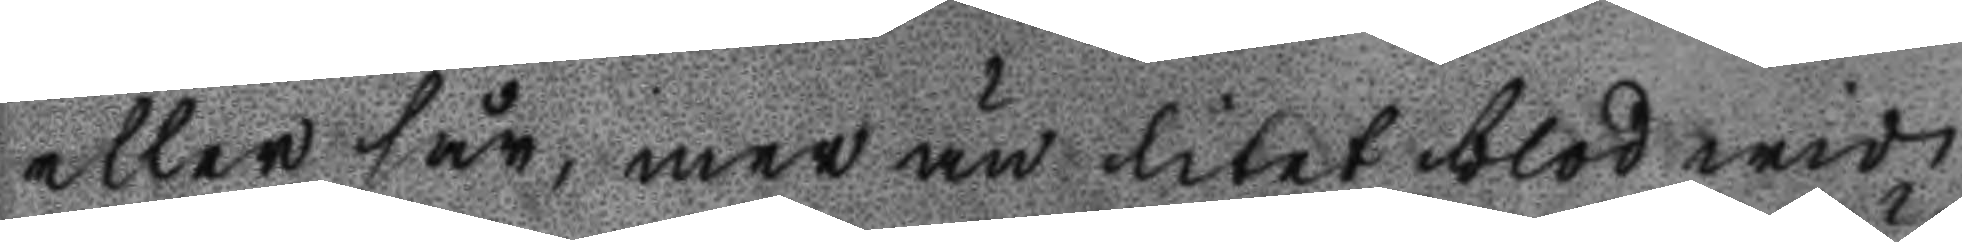eller sår, mer än litet blod wid
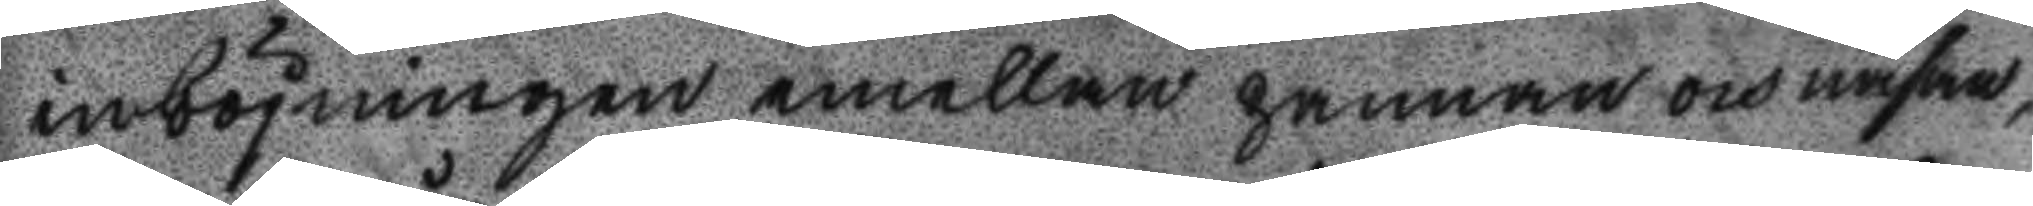inböjningen emellan pannan och näsan,
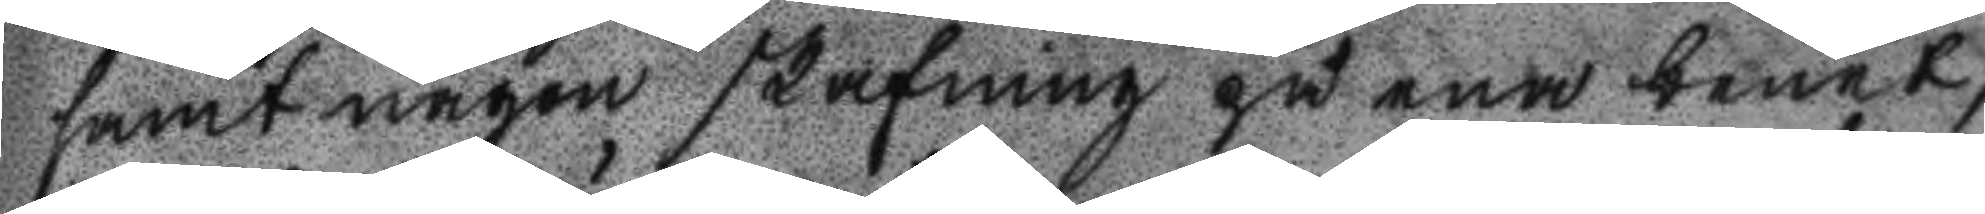samt någon skafning på ena benet,
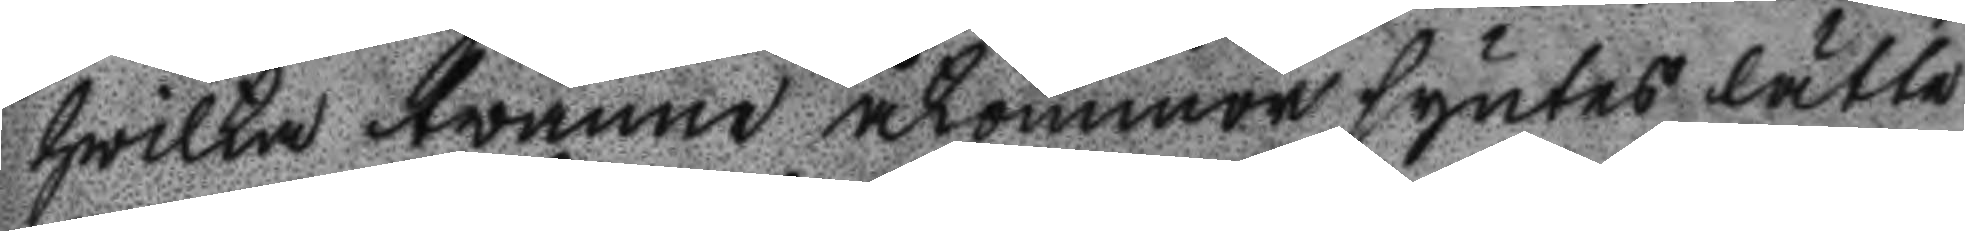hwilka tvänne åkommor syntes lätte
